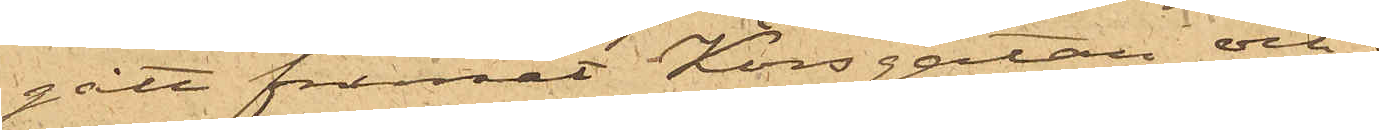gått framåt Korsgatan och i
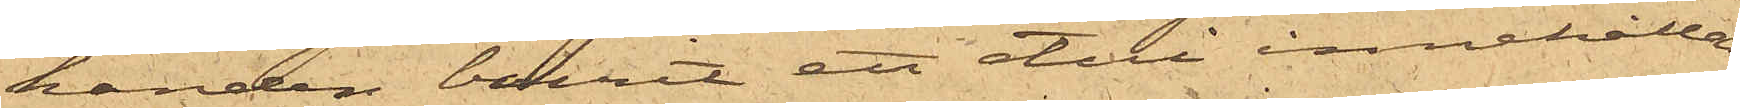handen burit ett etui innehållan¬
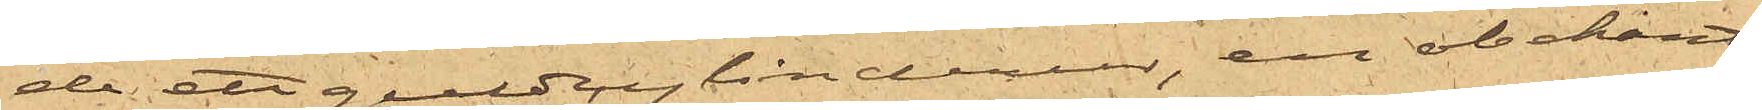de ett guldcylinderur, en obekant
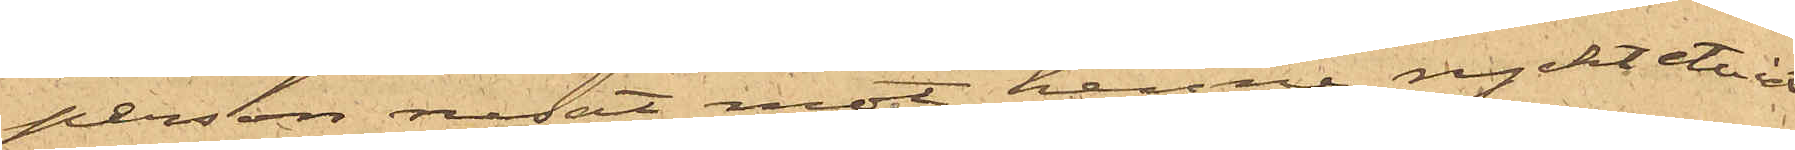person rusat mot henne, ryckt etuiet
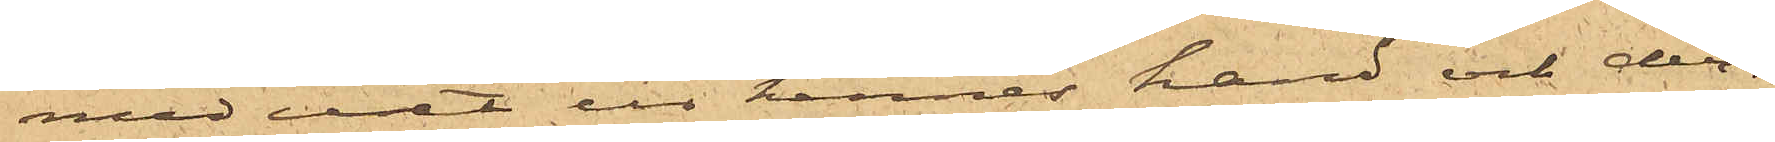med uret ur hennes hand och der¬
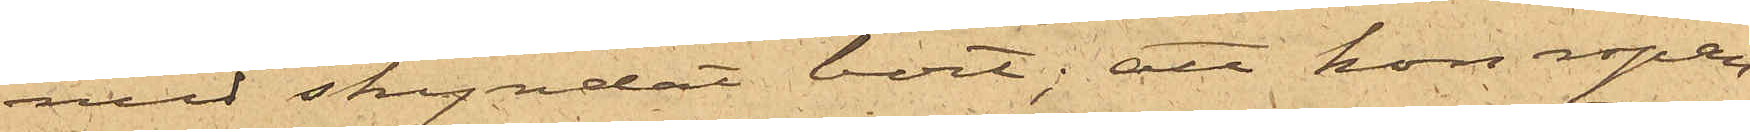med skyndat bort; att hon ropan¬
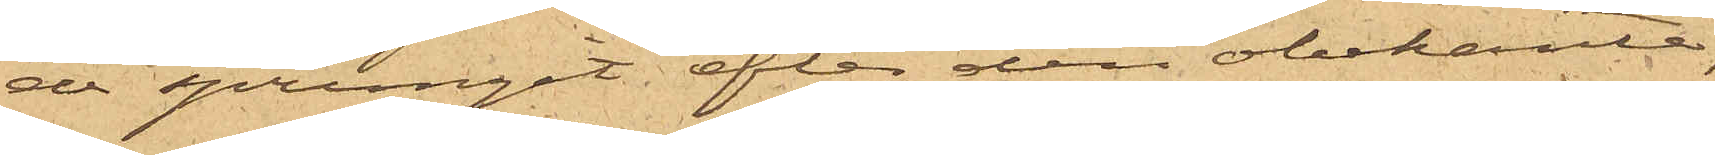de sprungit efter den obekante,
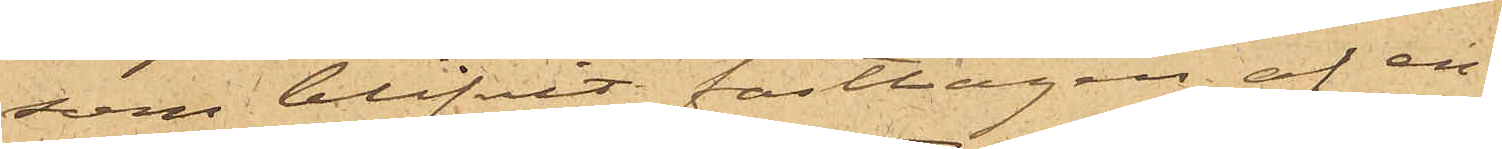som blifvit fasttagen af en
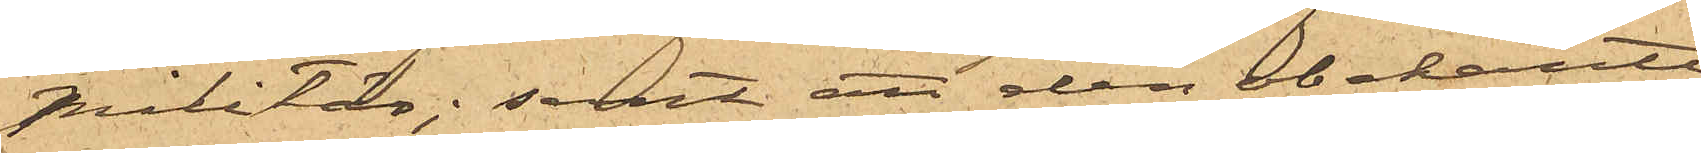militär; samt att den obekante
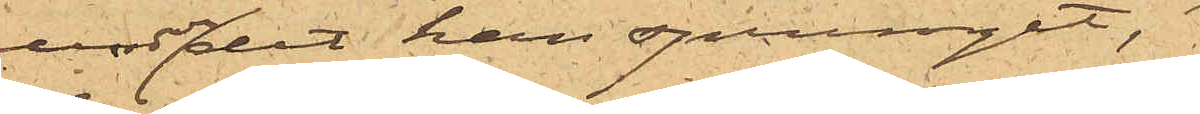medan han sprungit,
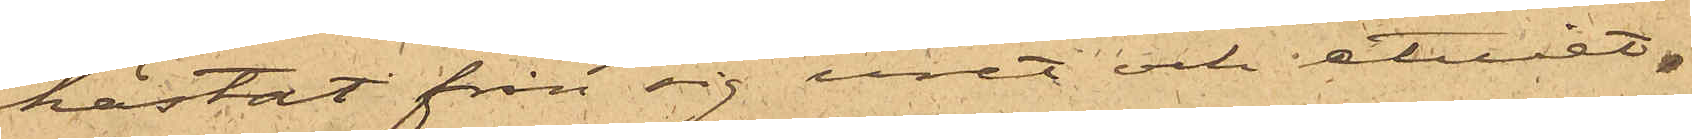kastat från sig uret och etuiet,
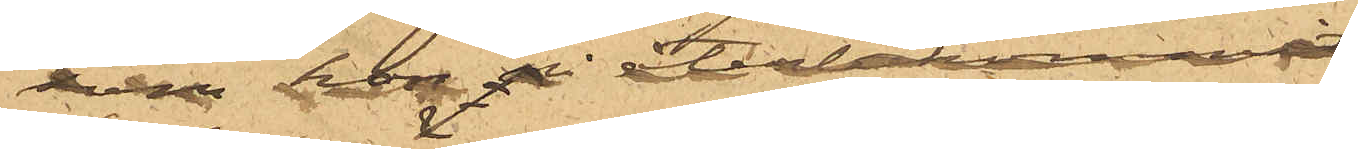som hon återbekommit.
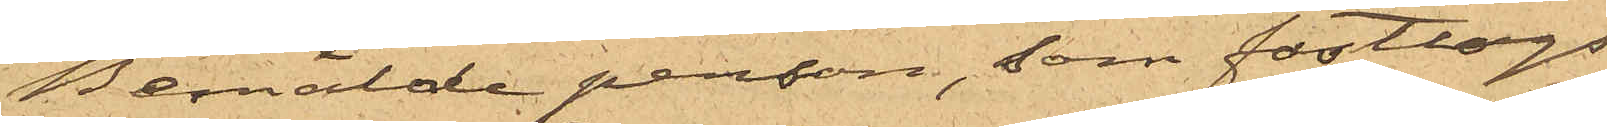Bemälde person, som fasttogs
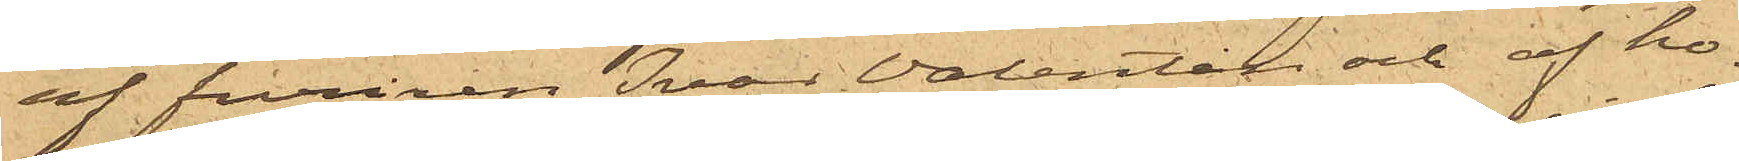af furiren Isaac Valentin och af ho¬
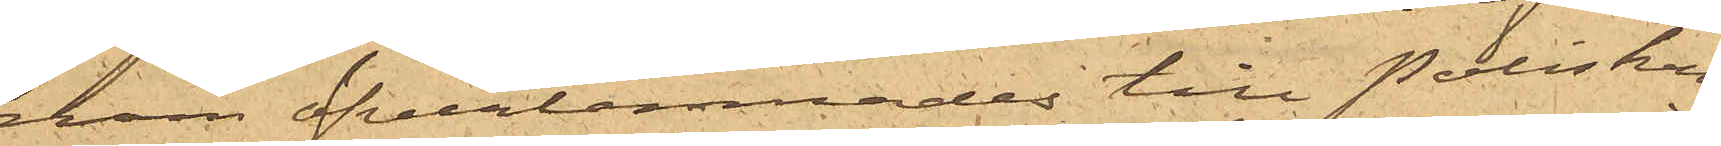nom öfverlemnades till Poliskon¬
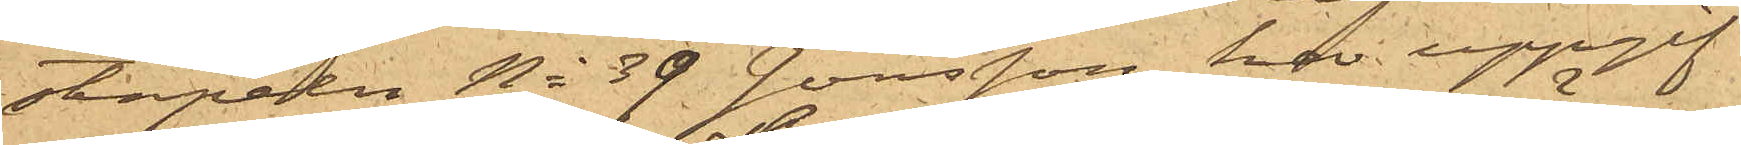stapeln No 39 Jonsson, har uppgif¬
